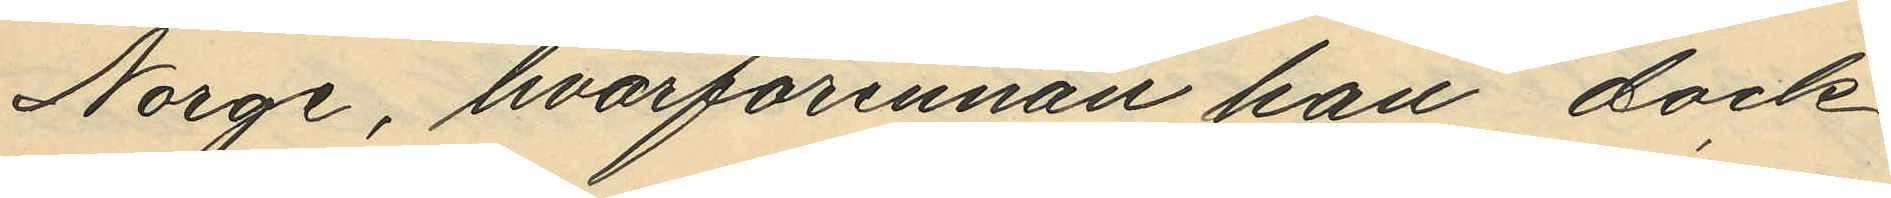Norge, hvarförinnan han dock
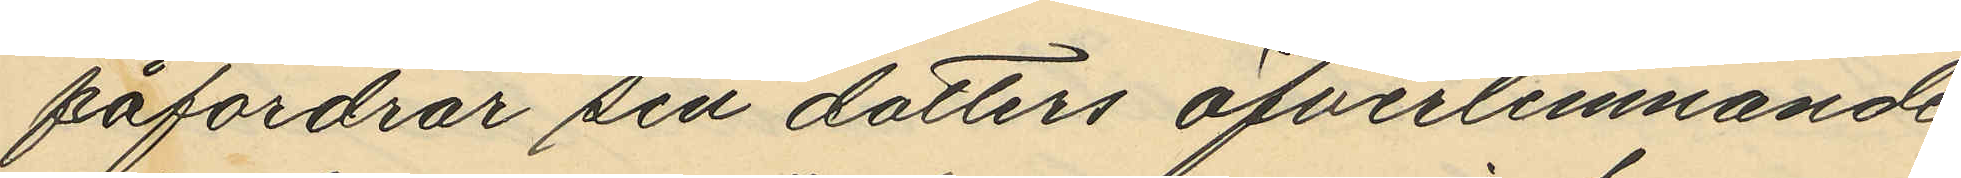påfordrar sin dotters öfverlemnande
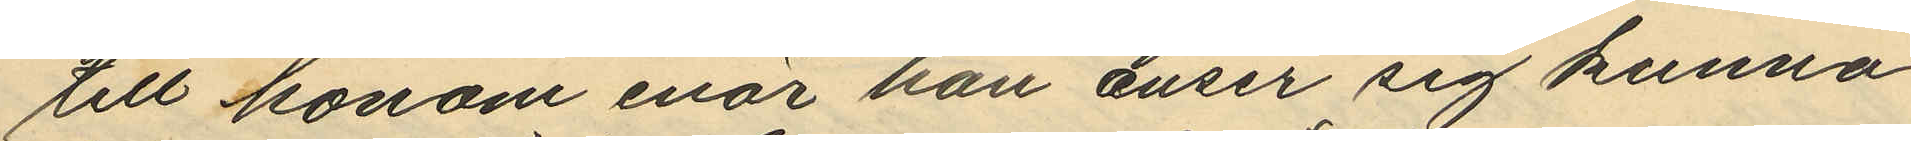till honom enär han enser sig kunna
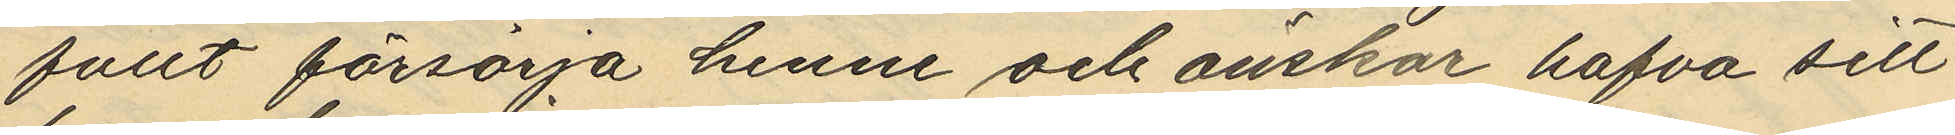fullt försörja henne och önskar hafva sitt
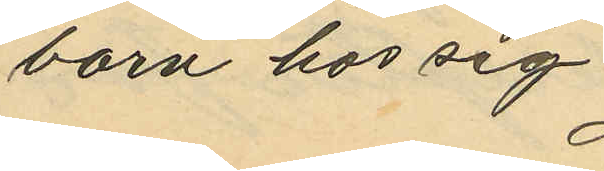barn hos sig.
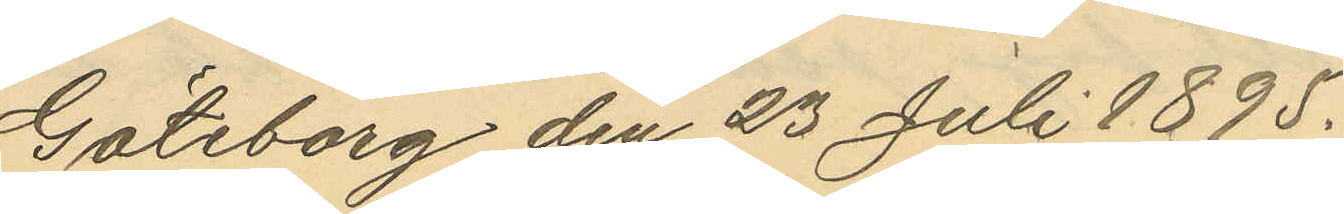Göteborg den 23 Juli 1895.
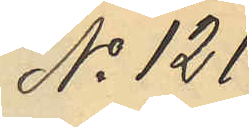No 121
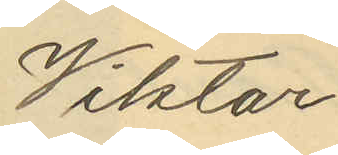Viktor
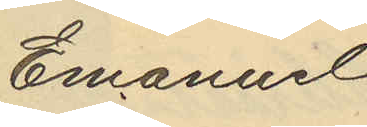Emanuel
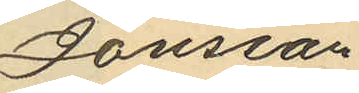Jonsson
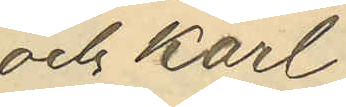och Karl
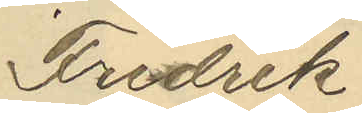Fredrik
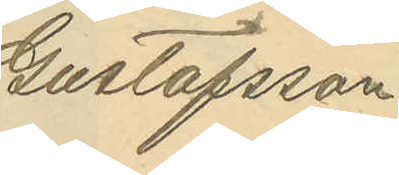Gustafsson
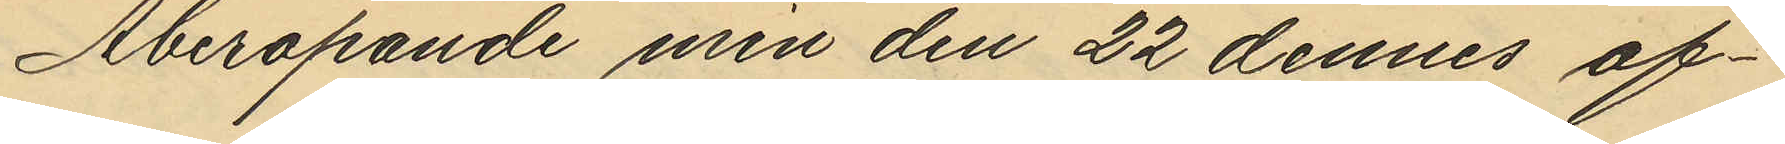Åberopande min den 22 dennes af¬
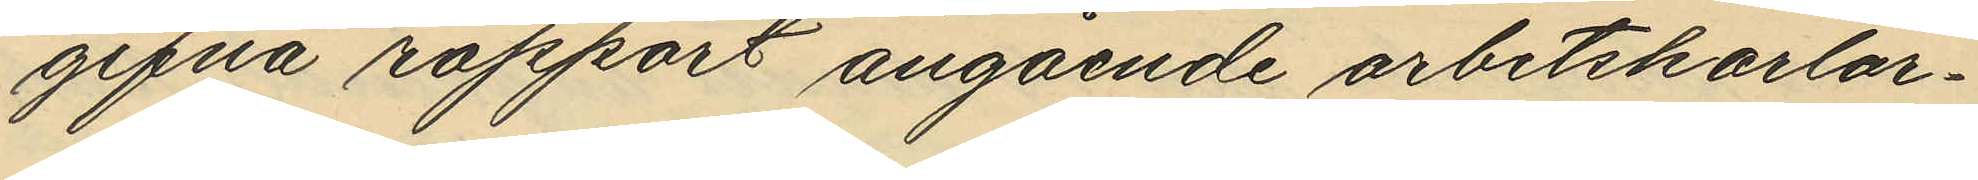gifna rapport angående arbetskarlar¬
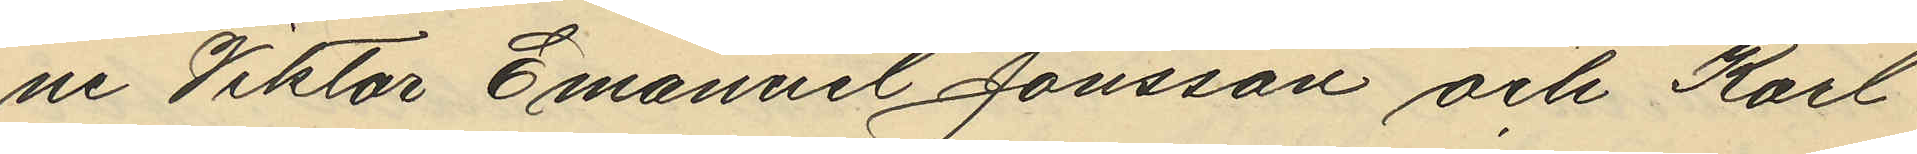ne Viktor Emanuel Jonsson och Karl
